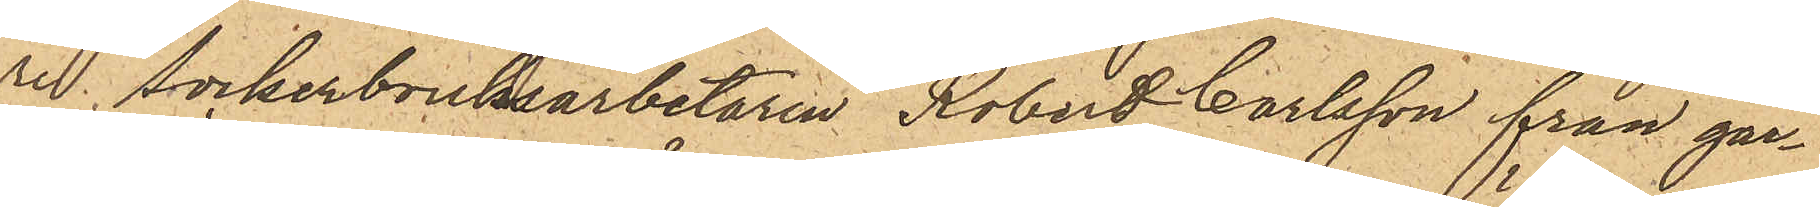re sockerbruksarbetaren Robert Carlsson från går¬
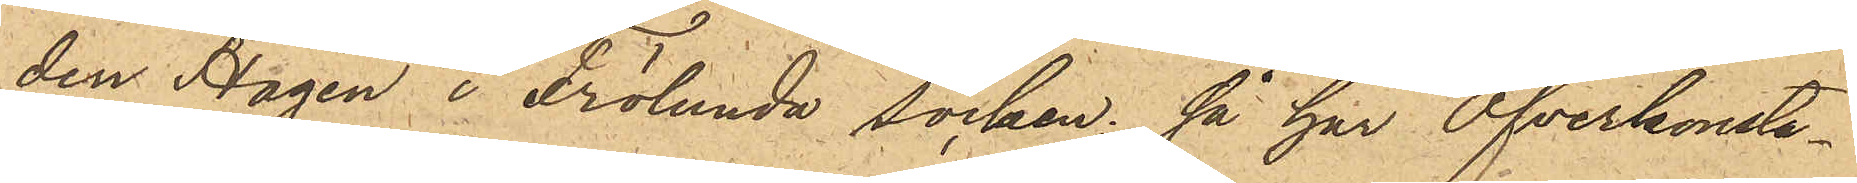den Hagen i Frölunda socken; så har Öfverkonsta¬
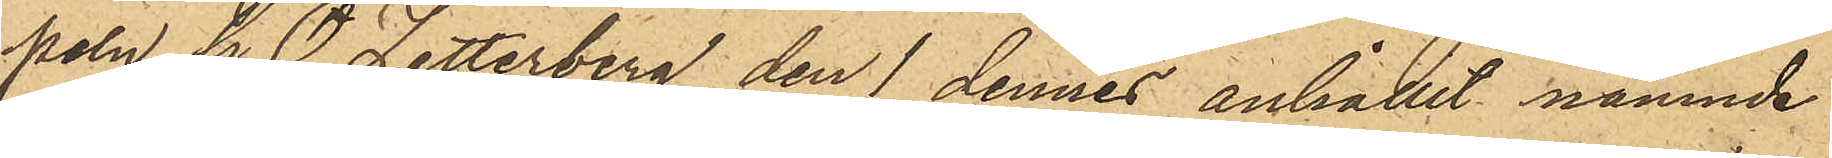peln G.O. Zetterberg den 1 dennes anhållit nämnde
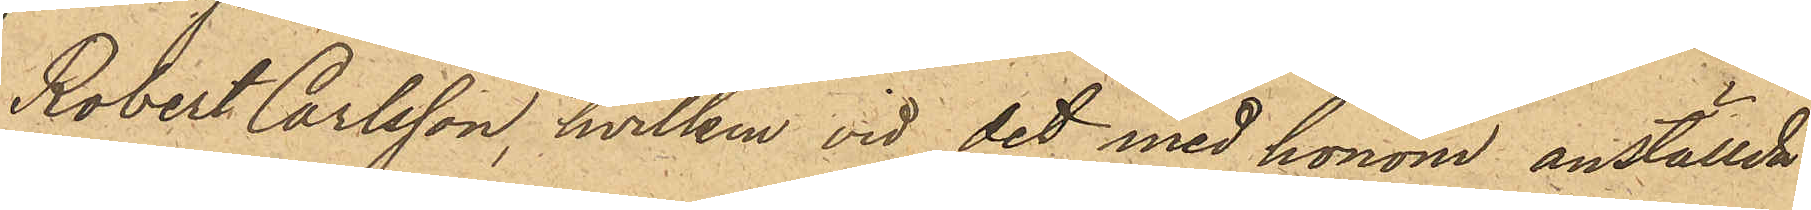Robert Carlsson, hvilken vid det med honom anställde
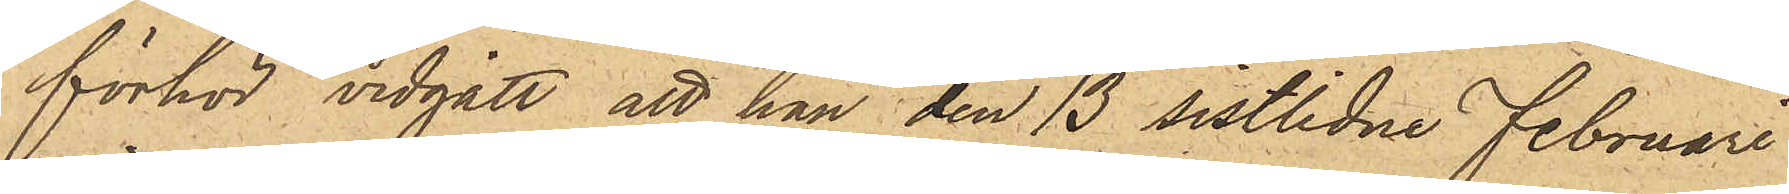förhör vidgått att han den 13 sistlidne Februari
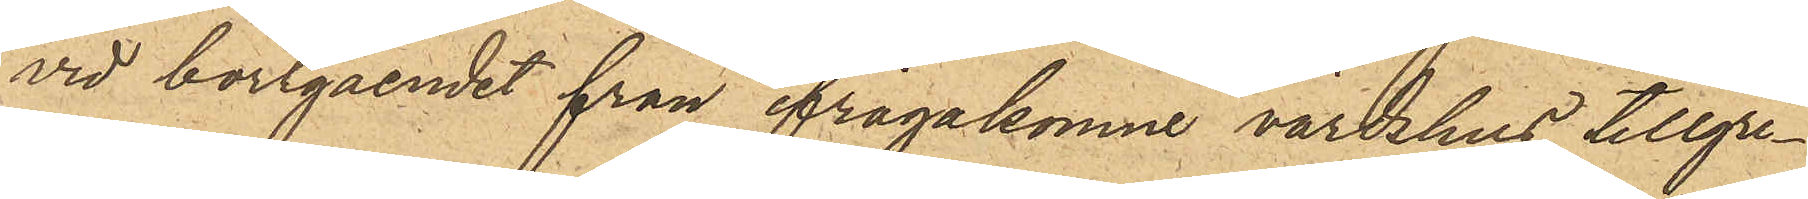vid bortgåendet från ifrågakomne värdshus tillgri¬
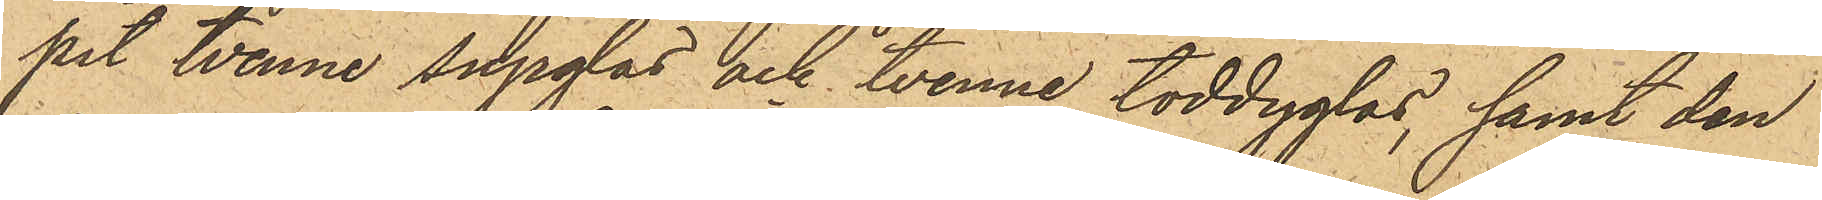pit tvenne supglas och tvenne toddyglas, samt den
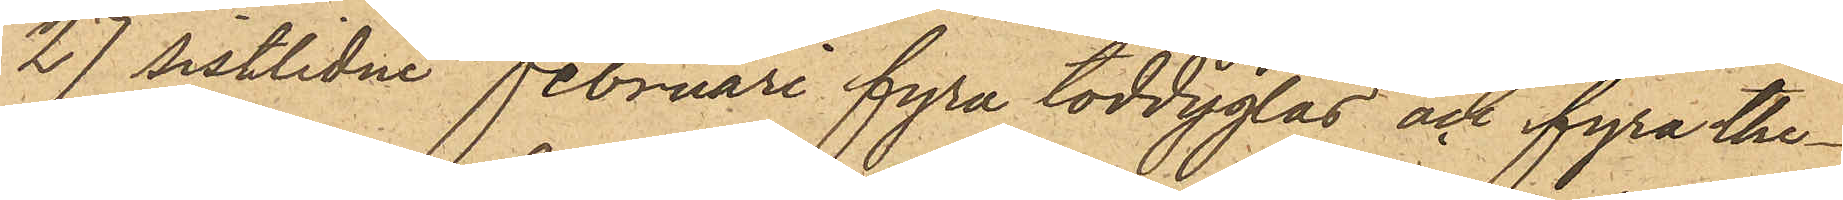27 sistlidne Februari fyra toddyglas och fyra the¬
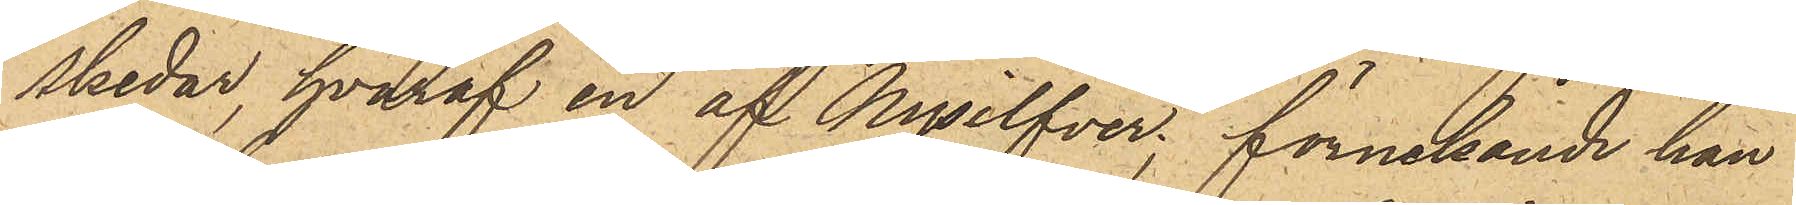skedar, hvaraf en af Nysilfver, förnekande han
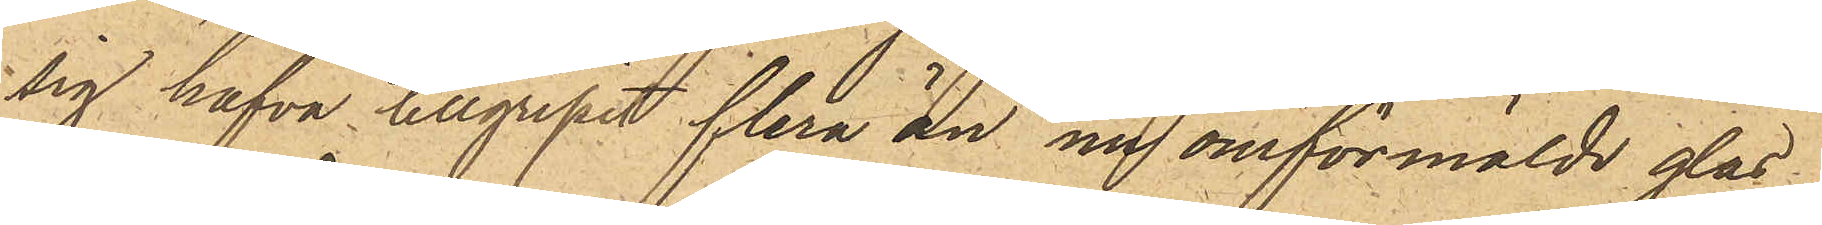sig hafva tillgripit flera än nu omförmälde glas
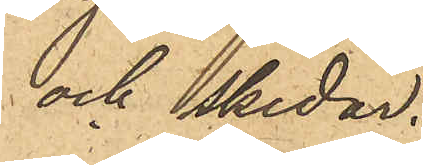och skedar.
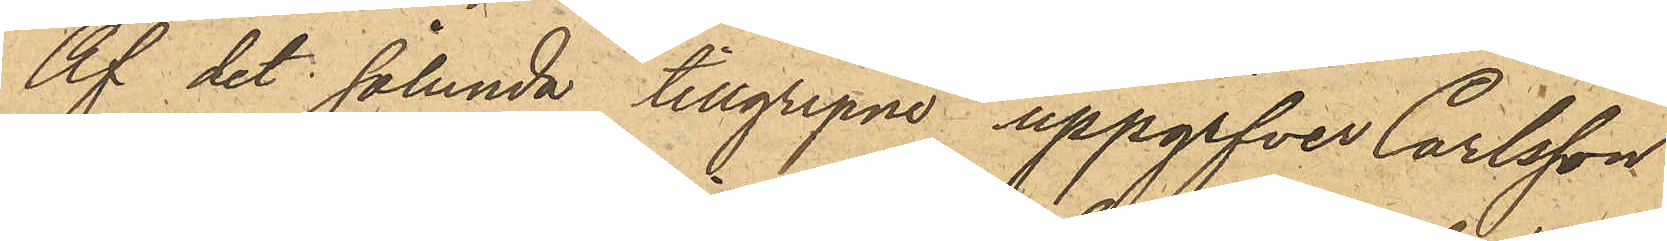Af det sålunda tillgripne uppgifver Carlsson
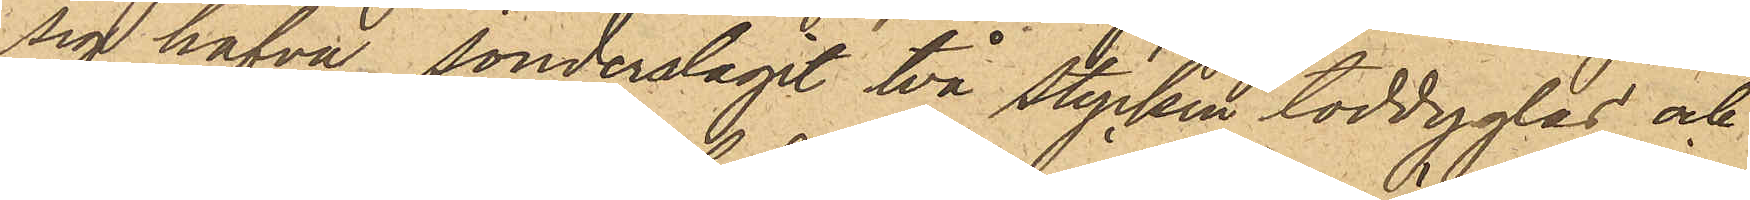sig hafva sönderslagit två stycken toddyglas och
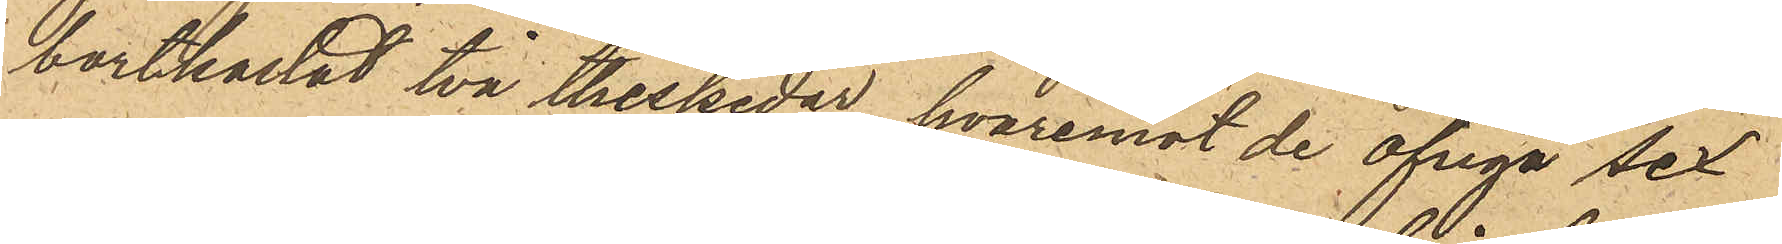bortkastat två thessedar, hvaremot de öfriga sex
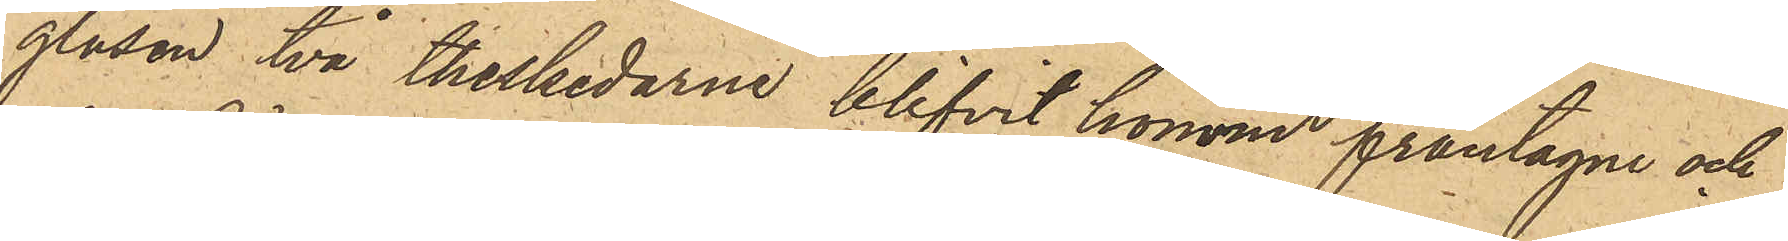glasen två theskedarne blifvit honom fråntagne och
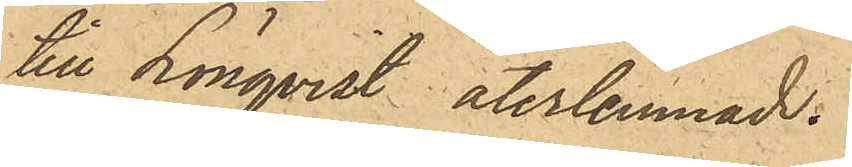till Lönqvist återlemnade.
